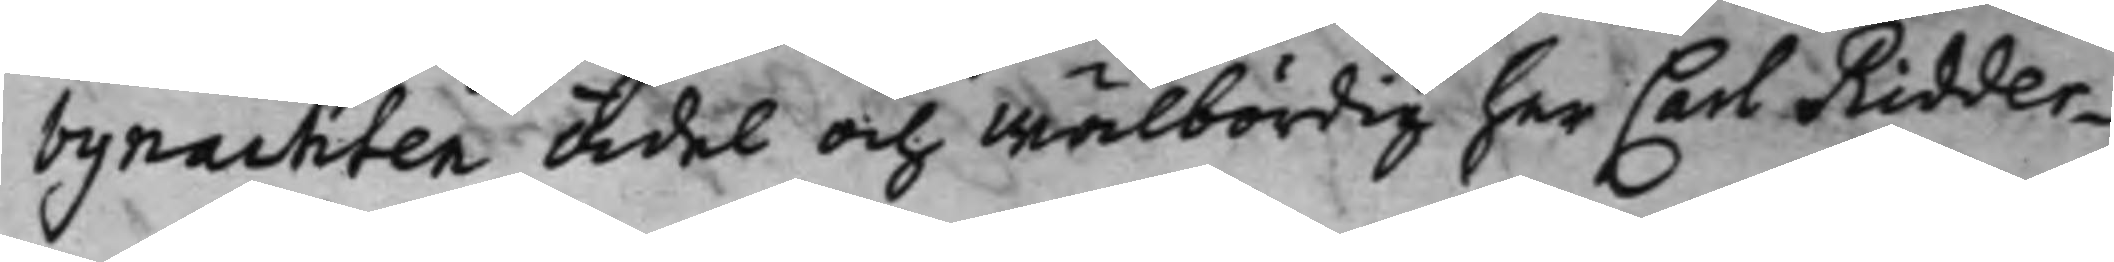bynachten Ädel och Wälbördig her Carl Ridder¬
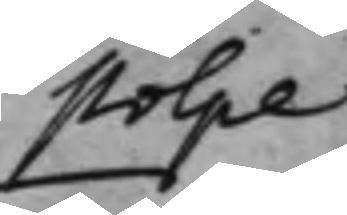stolpe
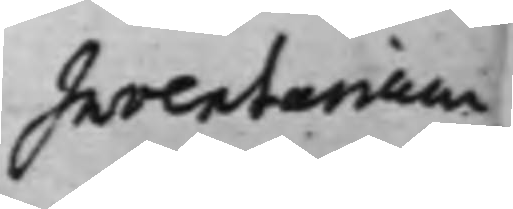Inventarium
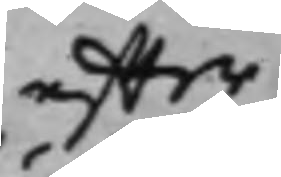effter
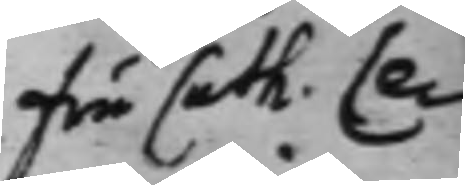Fru Cath. Ce¬
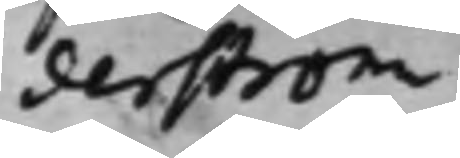derström
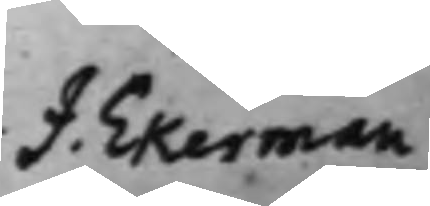J. Ekerman
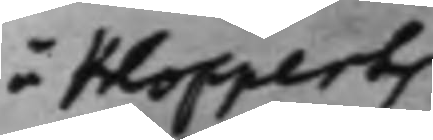å Klopperts
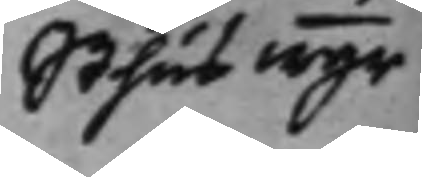Sthus wgr
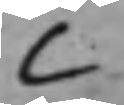C
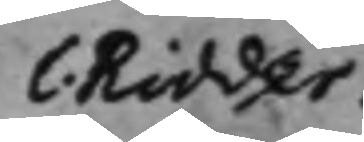C. Ridder¬
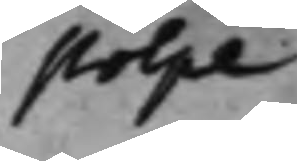stolpe
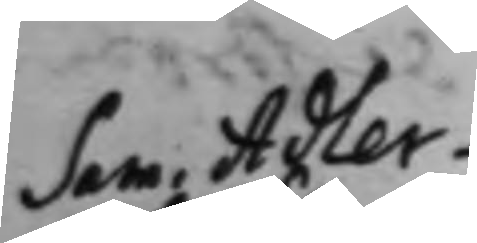Sam. Adler¬
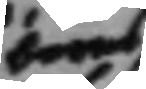barns
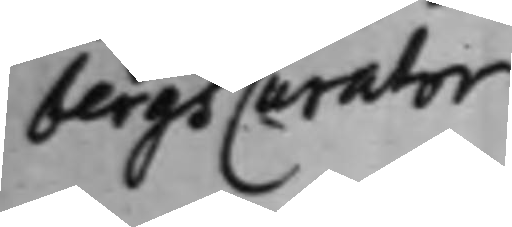bergs Curator
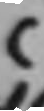C
